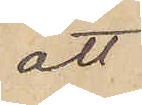att
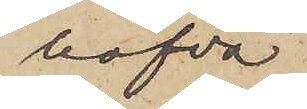hafva
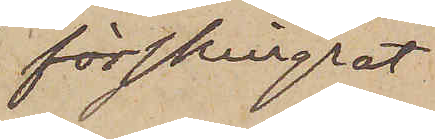förskingrat
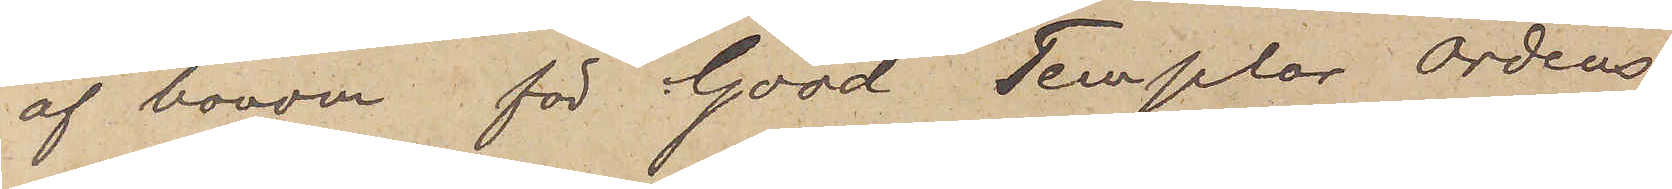af honom för "Good Templar Ordens
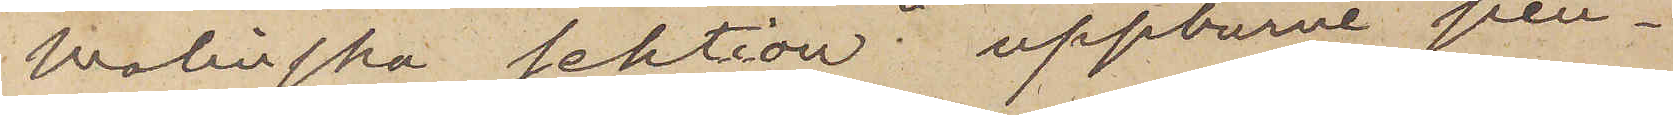Molinska sektion" uppburne pen¬
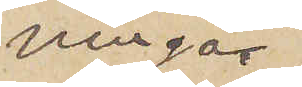ningar
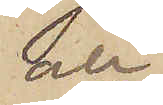och
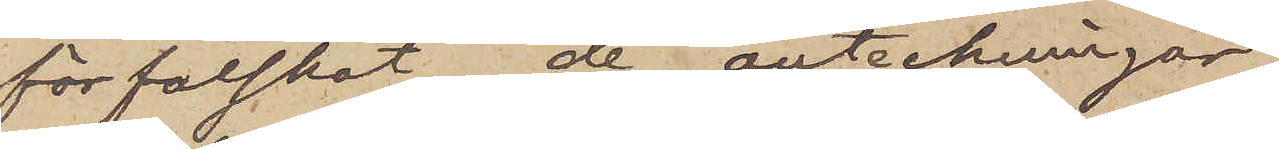förfalskat de anteckningar,
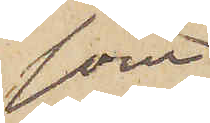som
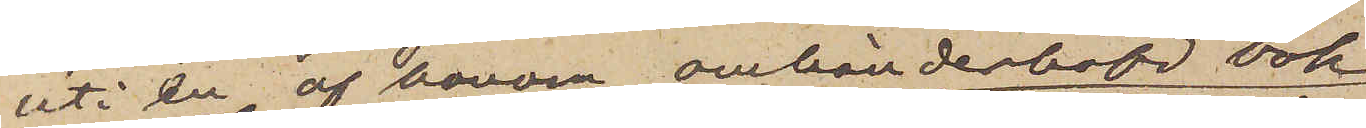uti en af honom omhänderhafd bok
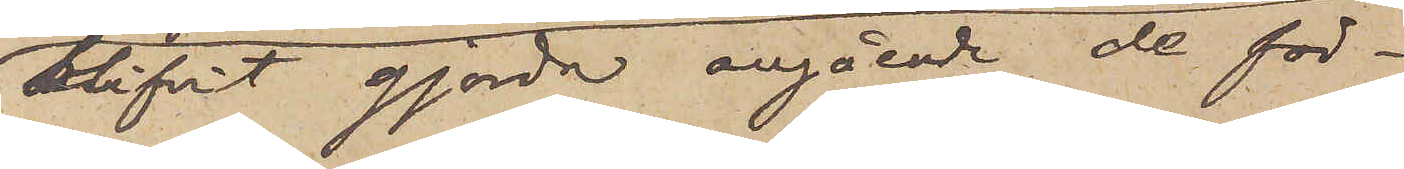blifvit gjorda angående de för¬
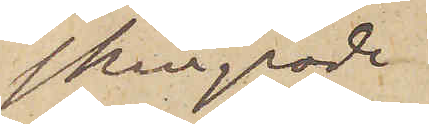skingrade
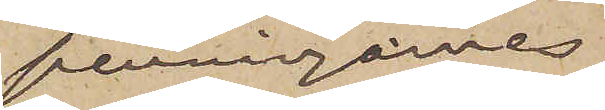penningarnes
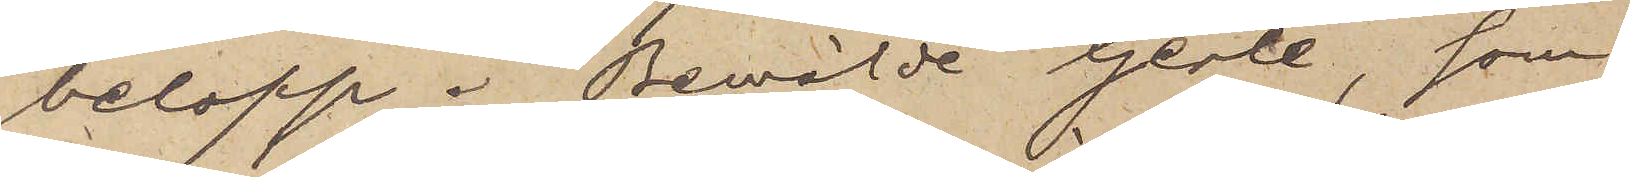belopp. Bemälde Gerle, som
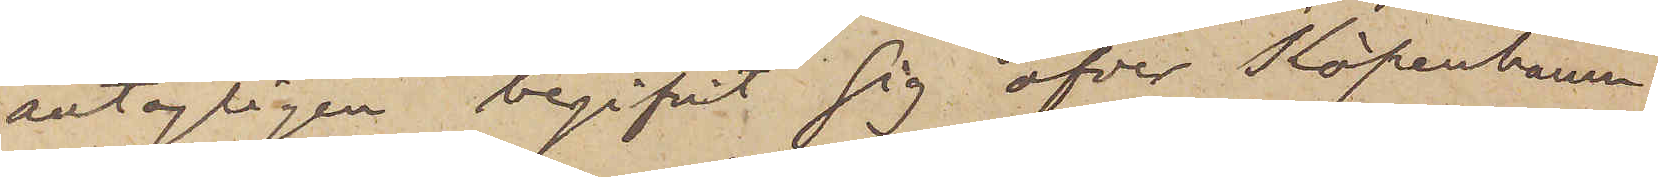antagligen begifvit sig öfver Köpenhamn
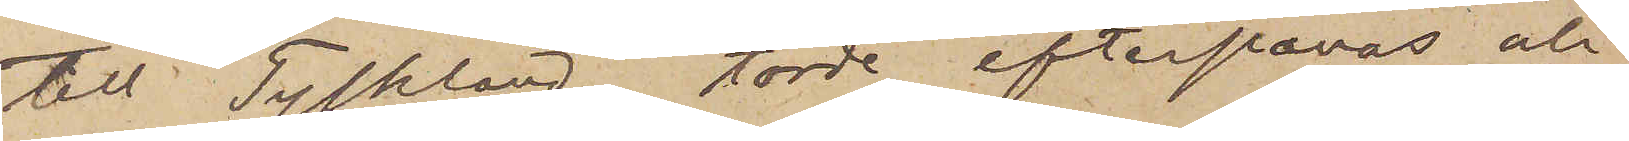till Tyskland, torde efterpanas och
